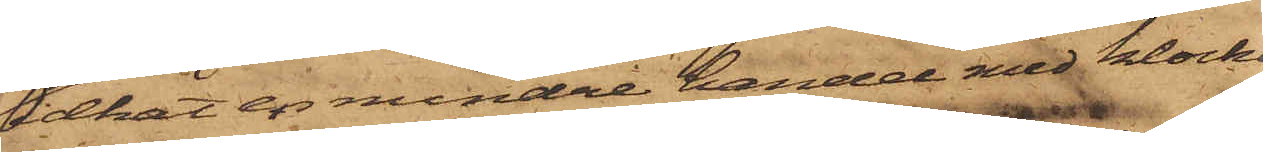idkat en mindre handel med klockor
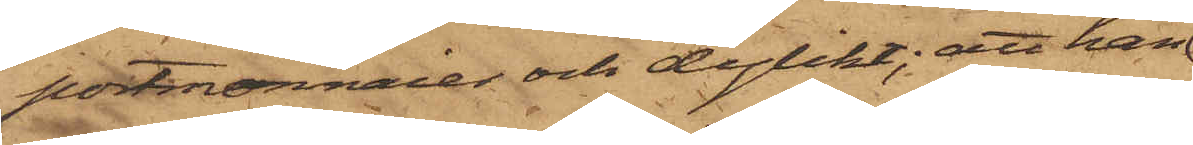portmonnaier och dylikt; att han
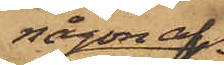någon af
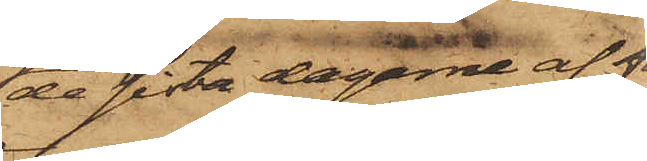de sista dagarne af för¬
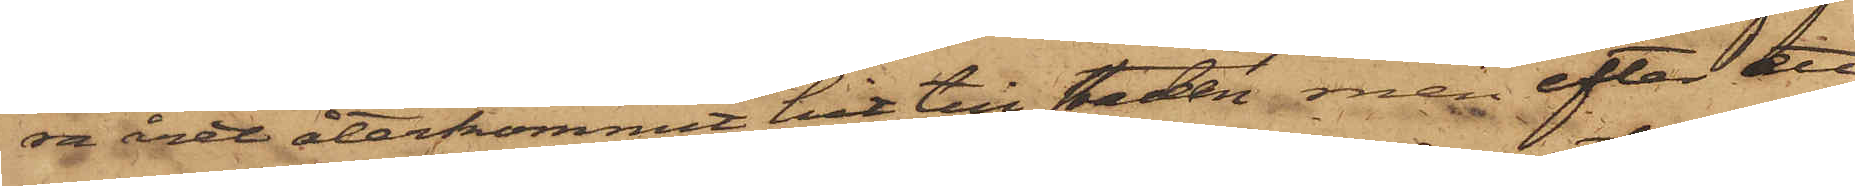ra året återkommit hit till staden, men efter ett
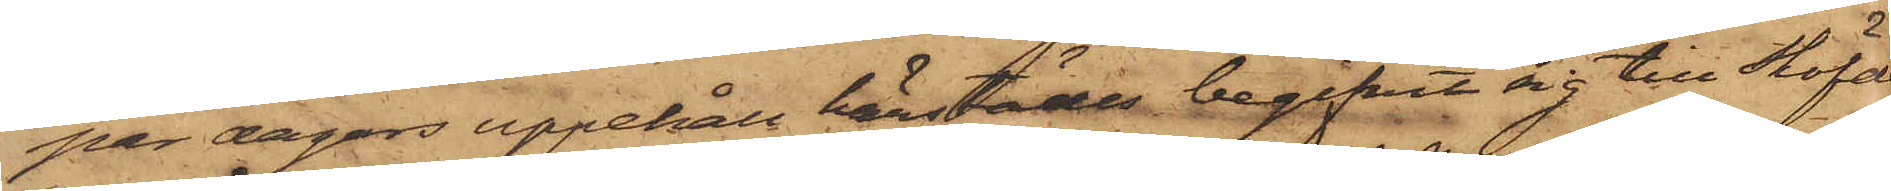par dagars uppehåll härstädes begifvit sig till Sköfde
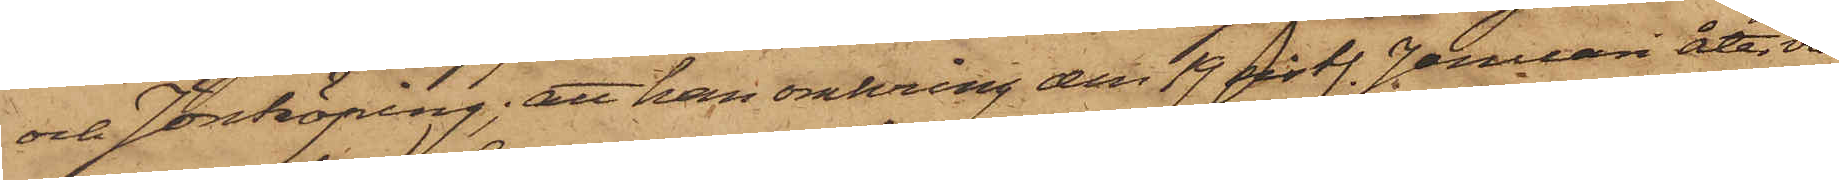och Jönköping; att han omkring den 19 sistl. Januari åter vändt
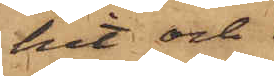hit och
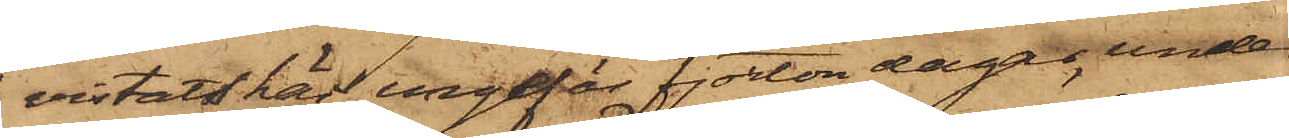vistats här ungefär fjorton dagar, under
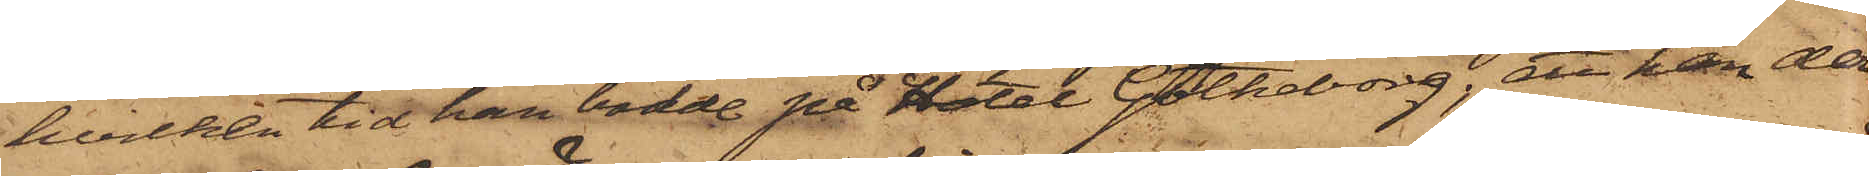hvilken tid han bodde på Hotel Götheborg; att han der¬
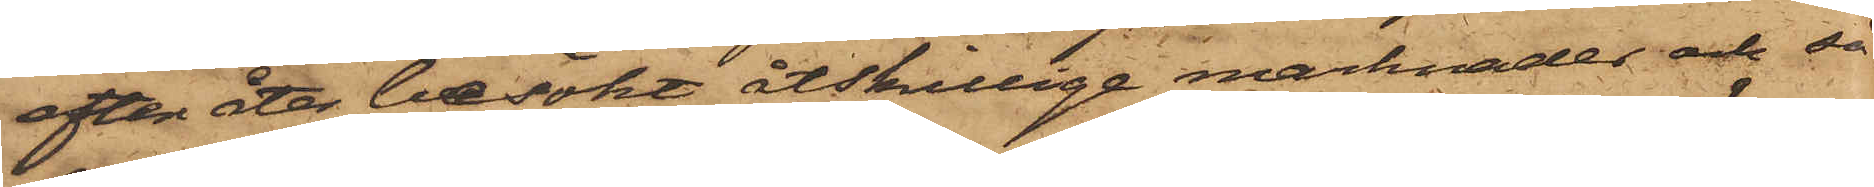efter åter besökt åtskillige marknader och så¬
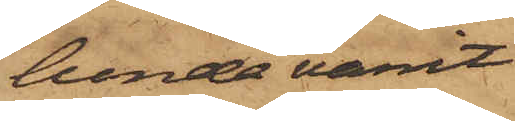lunda varit
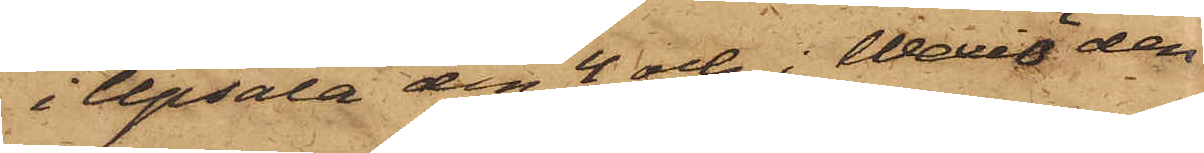i Upsala den 4 och i Wexiö den
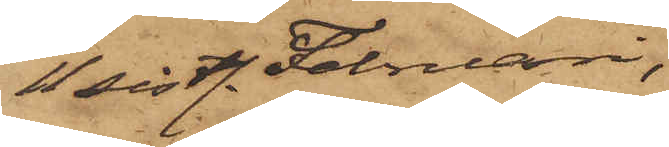11 sistl. Februari;
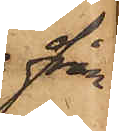från
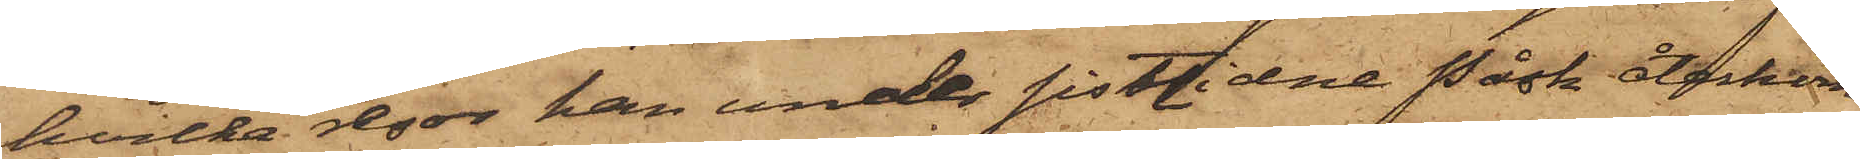hvilka resor han under sistlidne påsk återkom¬
